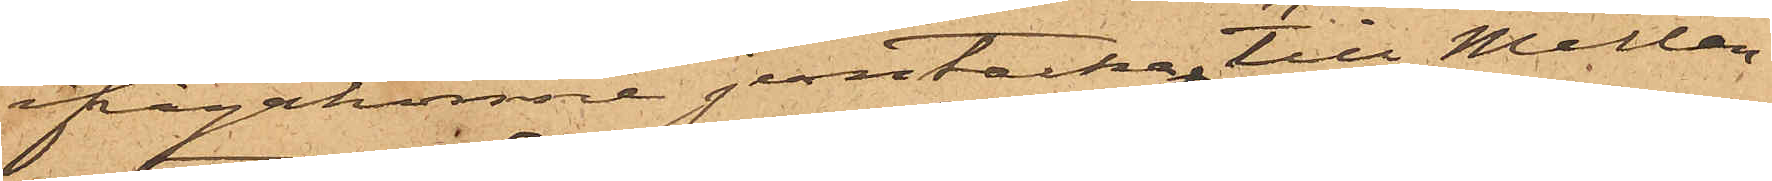ifrågakomne jerntacka, till Mellan¬
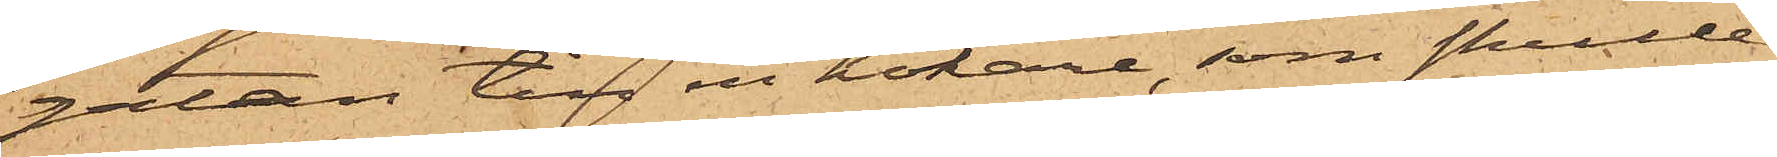gatan till en hökare, som skulle
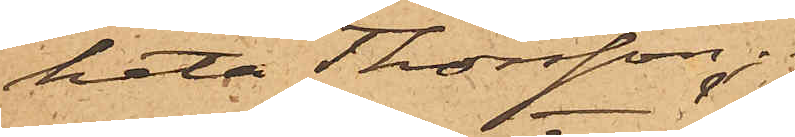heta Thorsson;
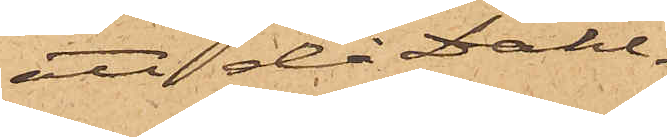att då Dahl¬
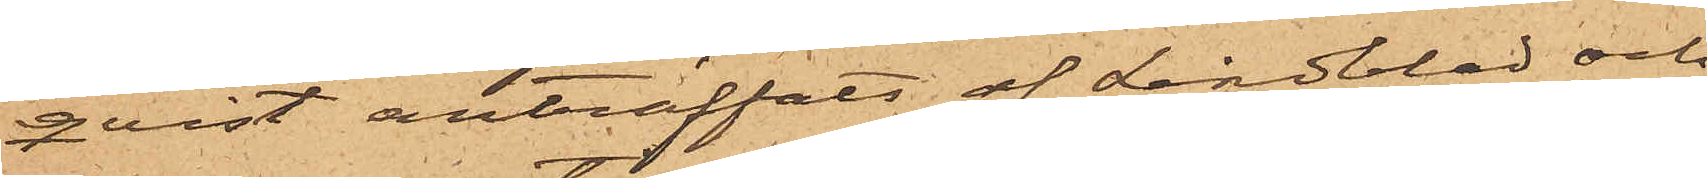qvist anträffats af Lindblad och
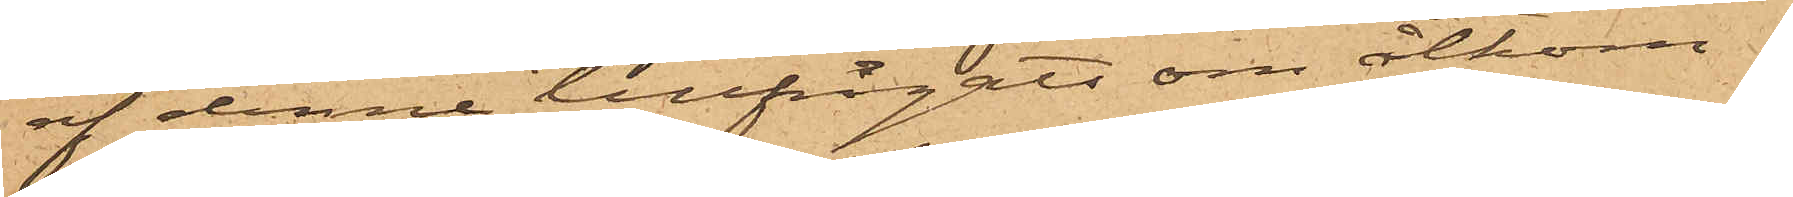af denne tillfrågats om åtkom¬
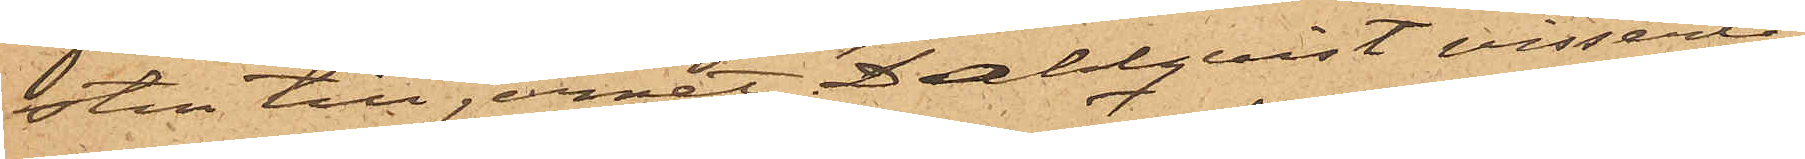sten till jernet, Dahlqvist visserli¬
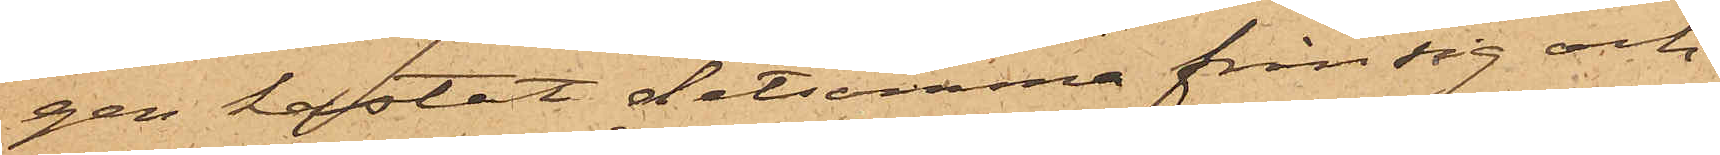gen kastat detsamma från sig och
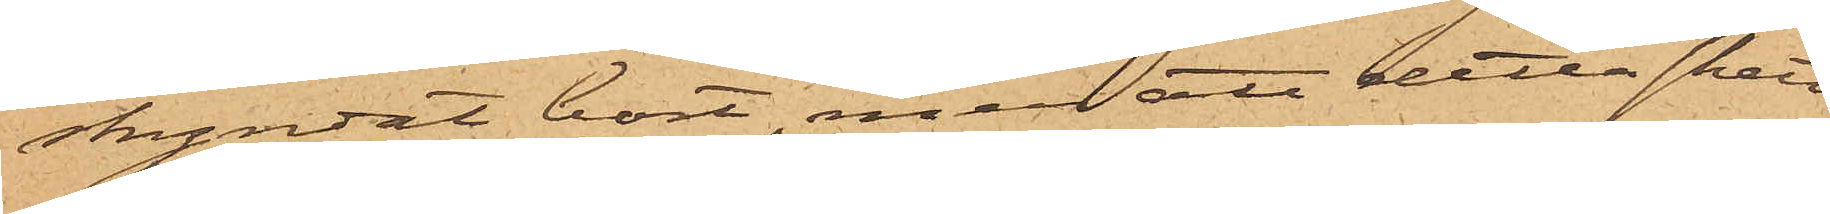skyndat bort, men att detta skett
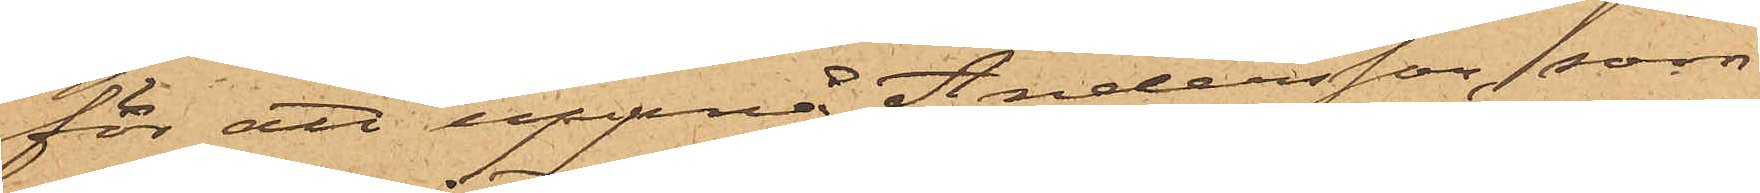för att uppnå Andersson, som
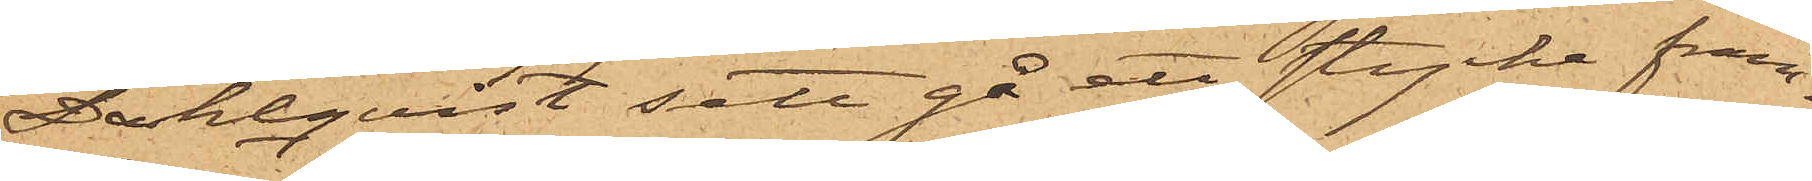Dahlqvist sett gå ett stycke fram¬
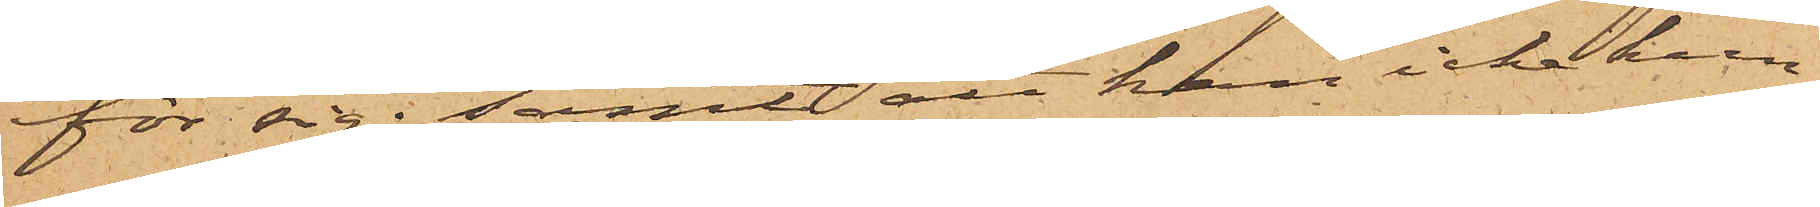för sig; samt att han icke kun¬
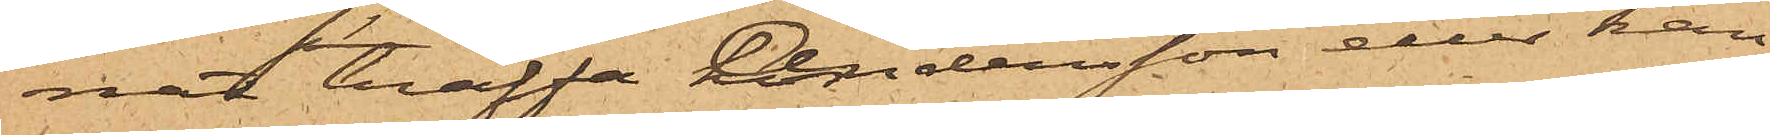nat träffa Andersson eller kan
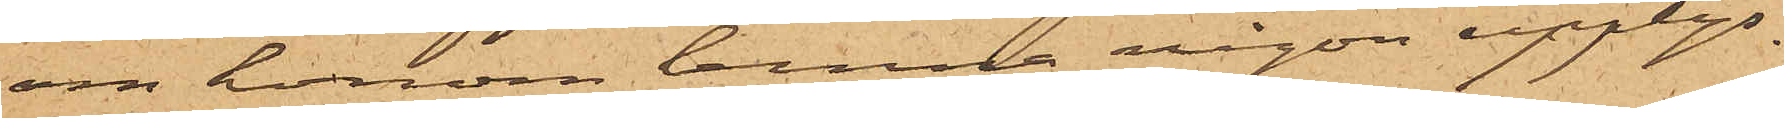om honom lemna någon upplys¬
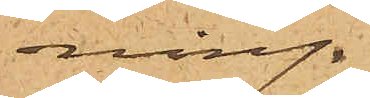ning.
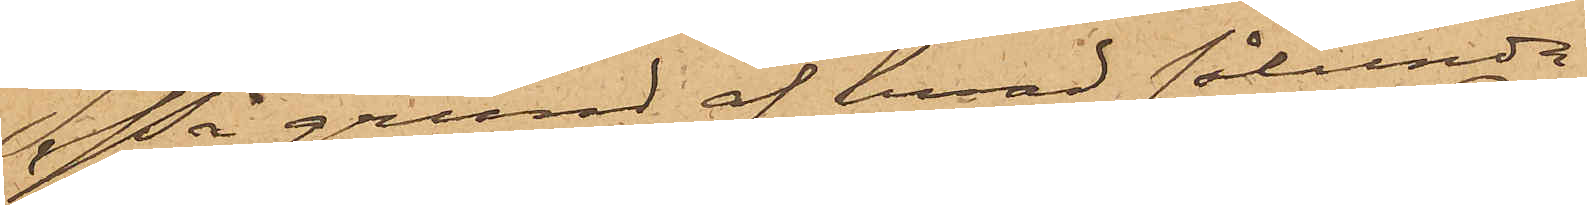På grund af hvad sålunda
